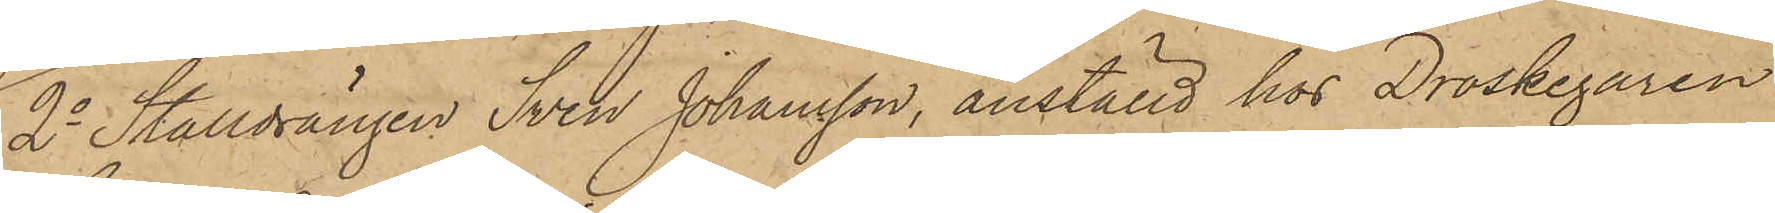2o Stalldrängen Sven Johansson, anställd hos Droskegaren
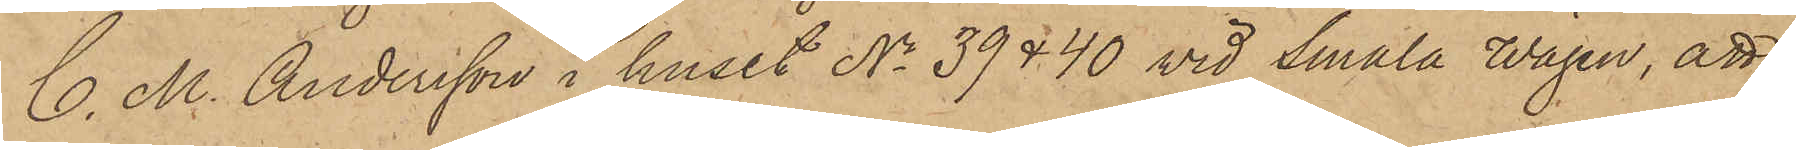C. M. Andersson i huset Nis 39 & 40 vid Smala Wägen, att
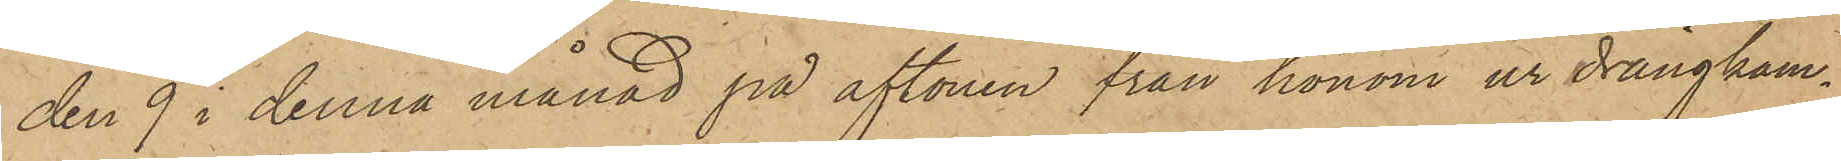den 9 i denna månad på aftonen från honom ur drängkam¬
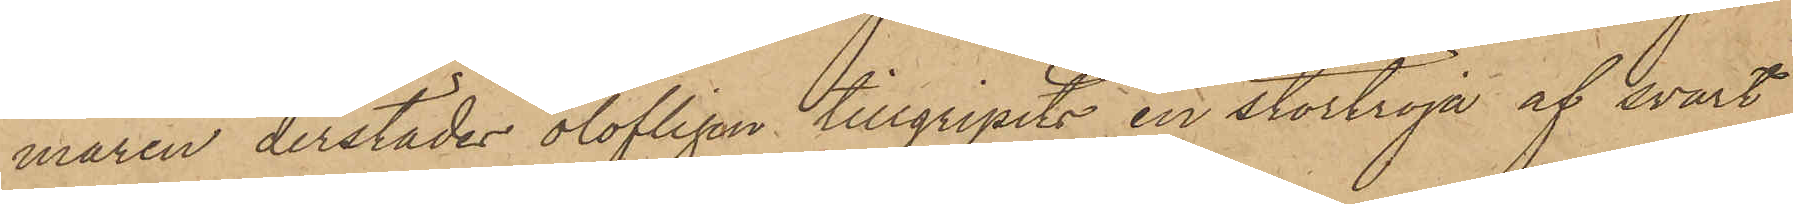maren derstädes olofligen tillgripits en stortröja af svart
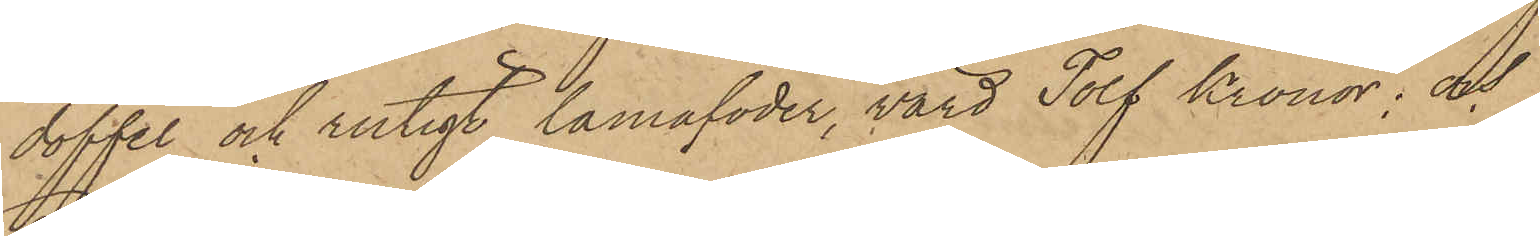doffel och rutigt lamafoder, värd Tolf Kronor; och
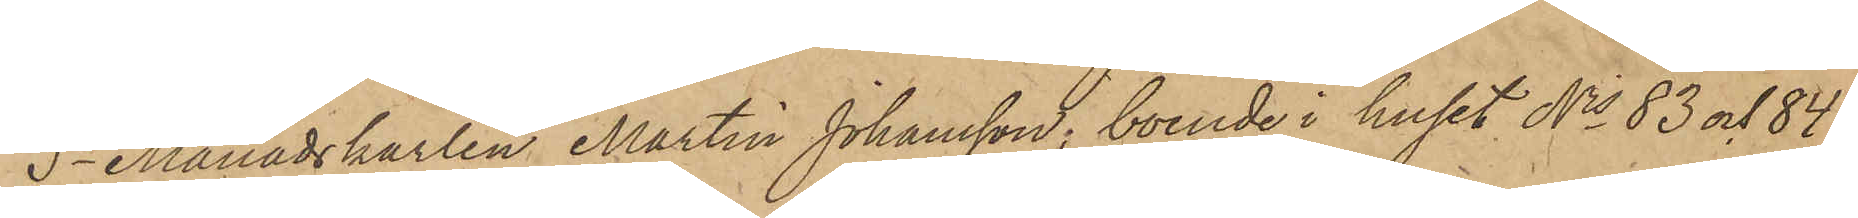3o Månadskarlen Martin Johansson, boende i huset Nis 83 och 84.
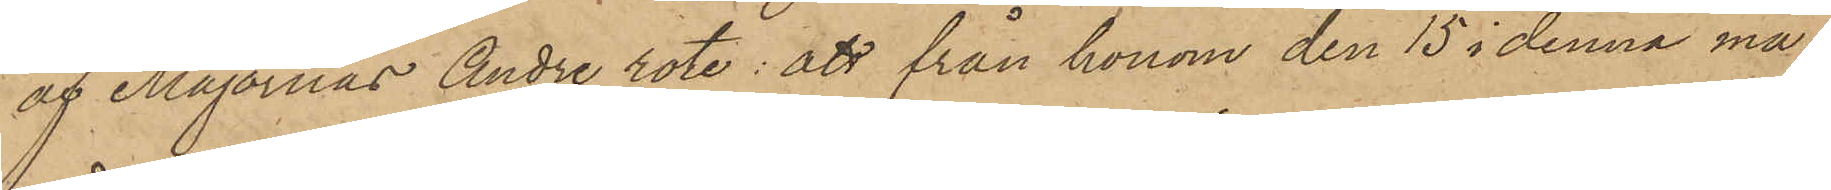af Majornas Andre rote: att från honom den 15 i denna må¬
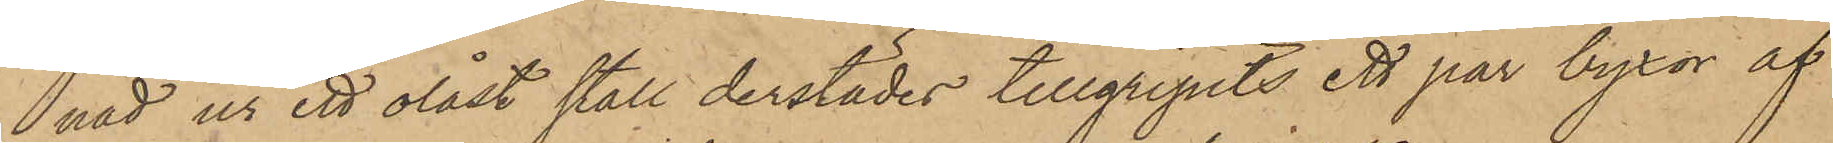nad ur ett olåst stall derstädes tillgripits ett par byxor af
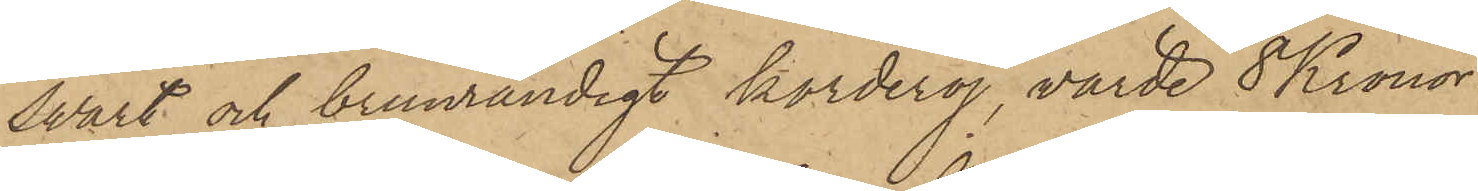swart och brunrandigt korderoj, värde 8 Kronor.
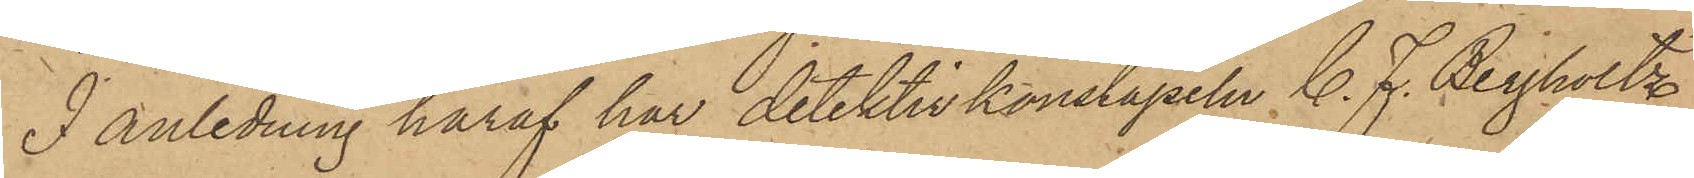I anledning häraf har detektivkonstapeln C. F. Bergholtz
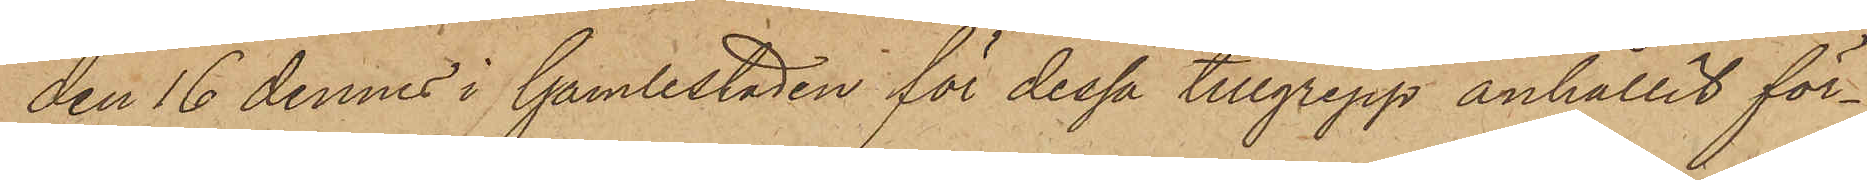den 16 dennes i Gamlestaden för dessa tillgrepp anhållit för¬
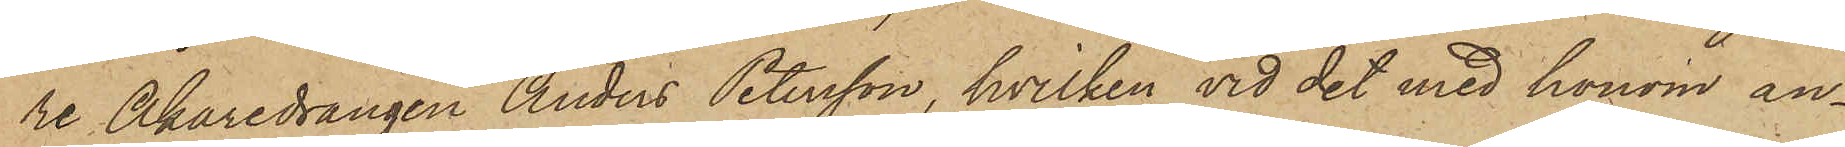re Åkaredrängen Anders Petersson, hvilken vid det med honom an¬
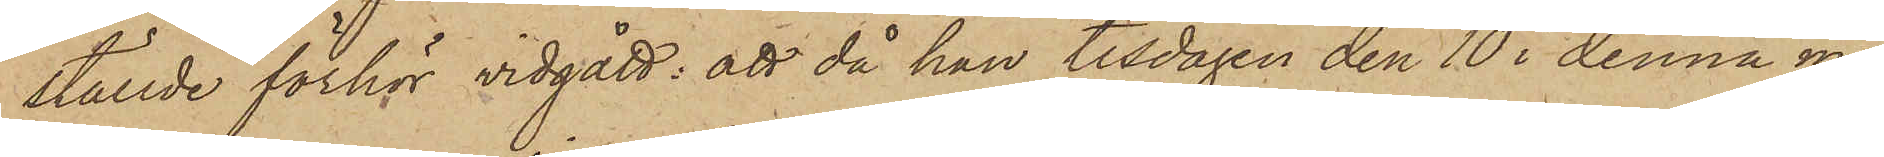ställde förhör vidgått; att då han tisdagen den 10 i denna må¬
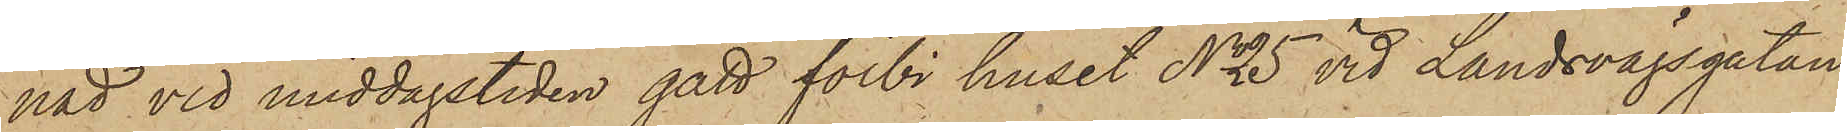nad vid middagstiden gått förbi huset No 5 vid Landsvägsgatan
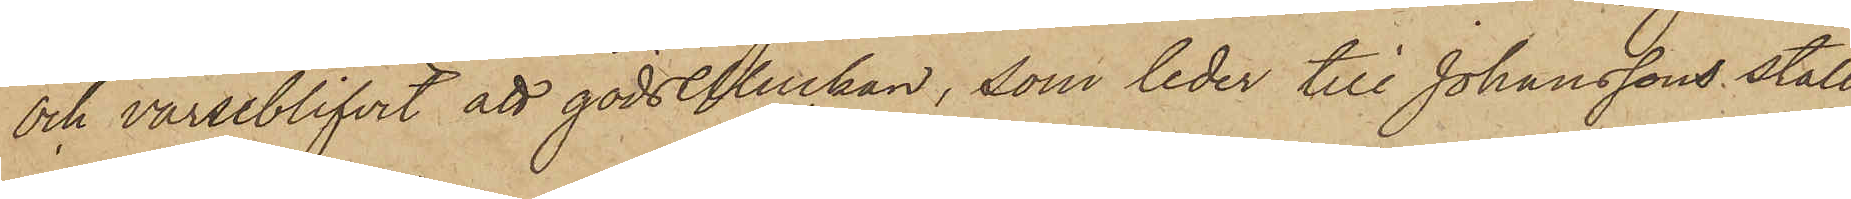och varseblifvit att gödselluckan, som leder till Johanssons stall,
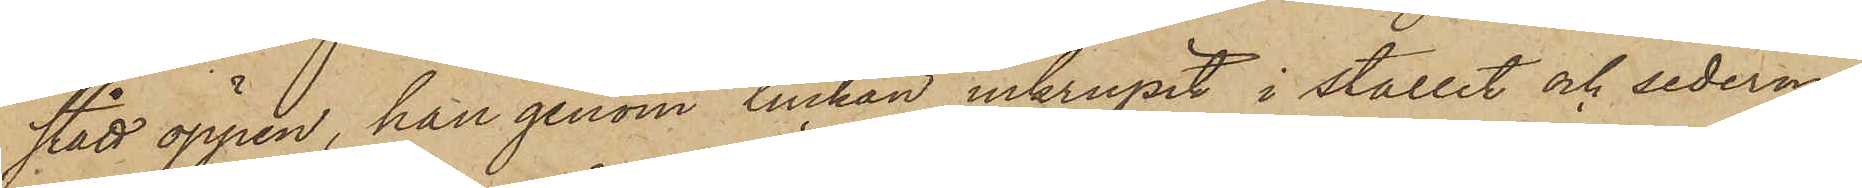stått öppen, han genom luckan inkrupit i stallet och sederme¬
